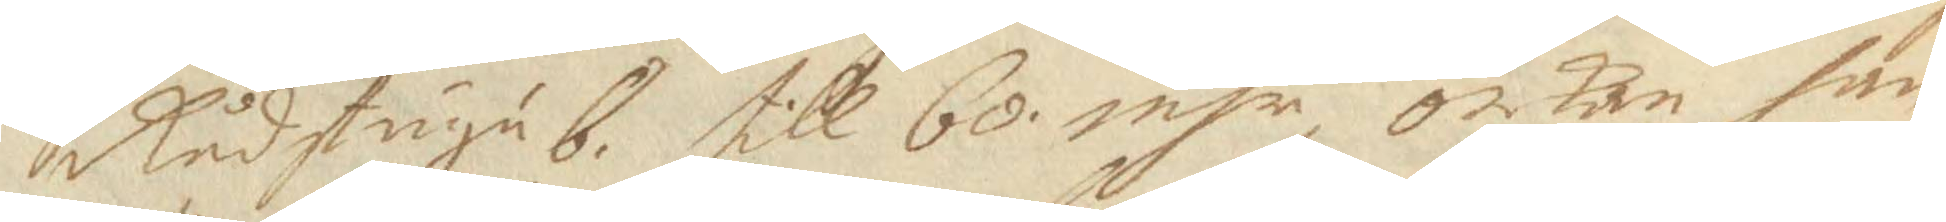Rådstugub. till 60 msr, orkan han 
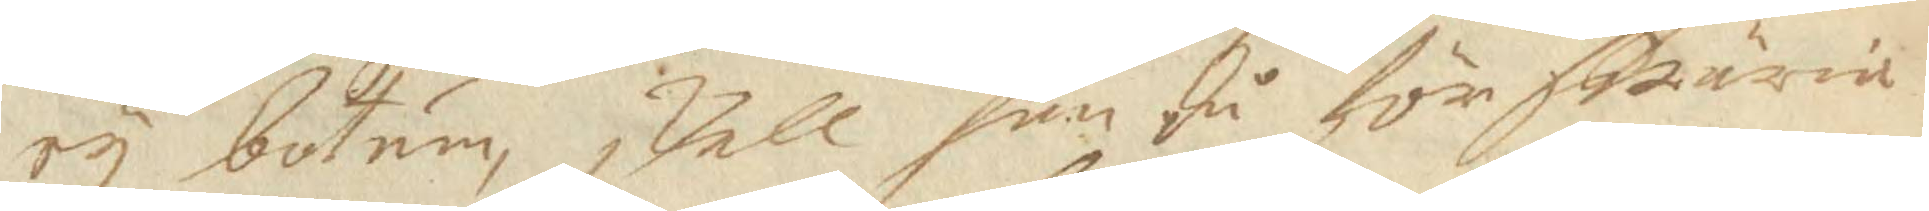ey botum, Vell han så för swäria
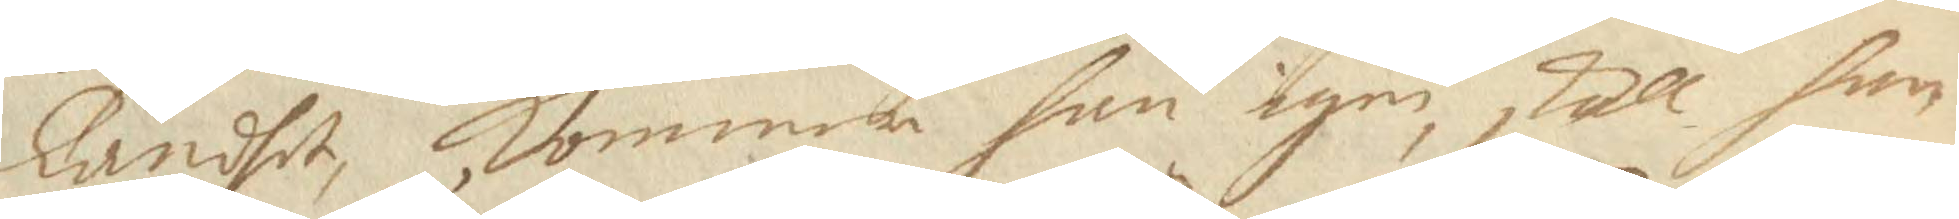landhet, kommer han igen skall han
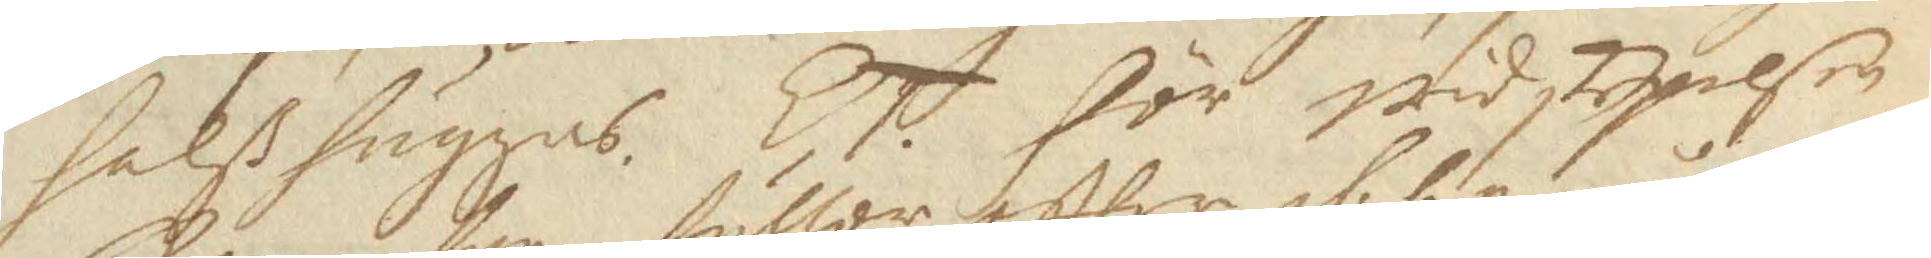halßhuggas. ET.för widskepelsen
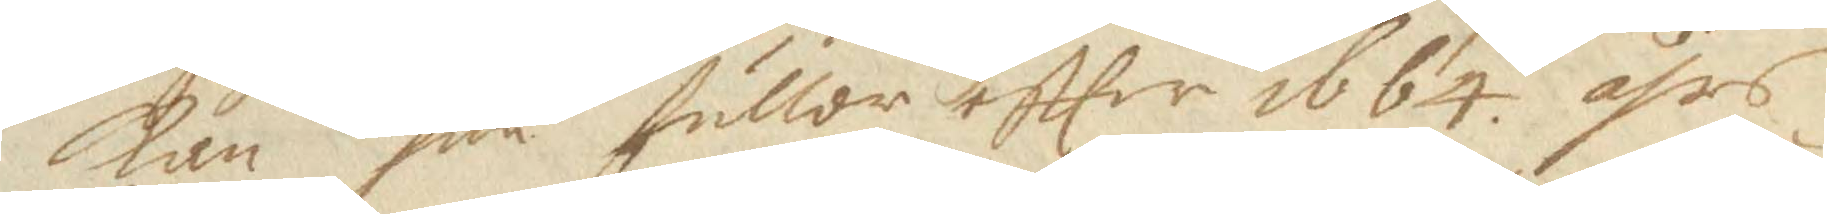kan han fuller eftter 1664 åhrs
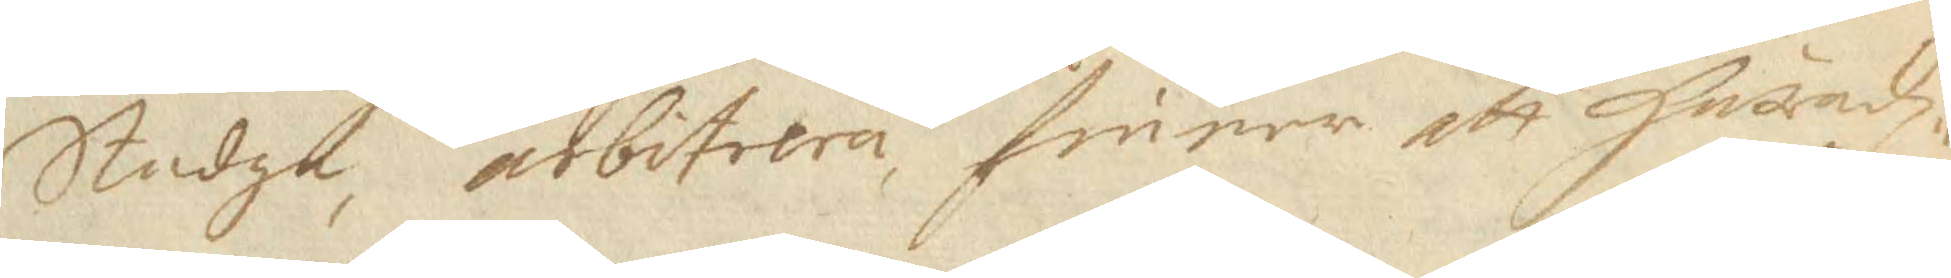Stadga, arbitrera finner att häradz¬
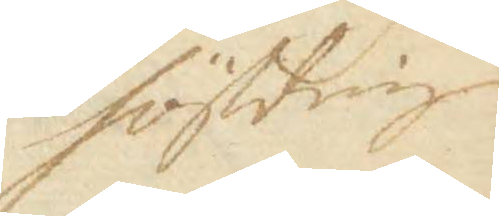höffdinge
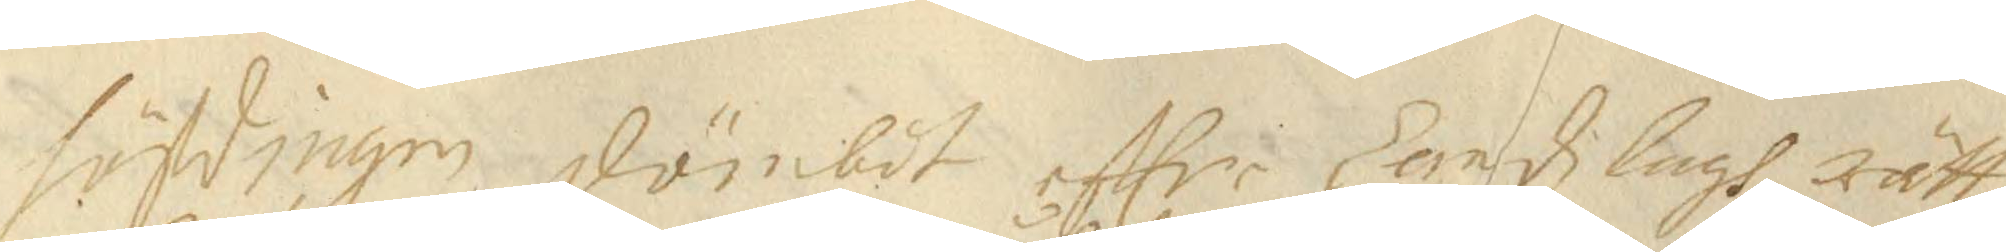höfdingen dömbdt effter Landz lagh rätt
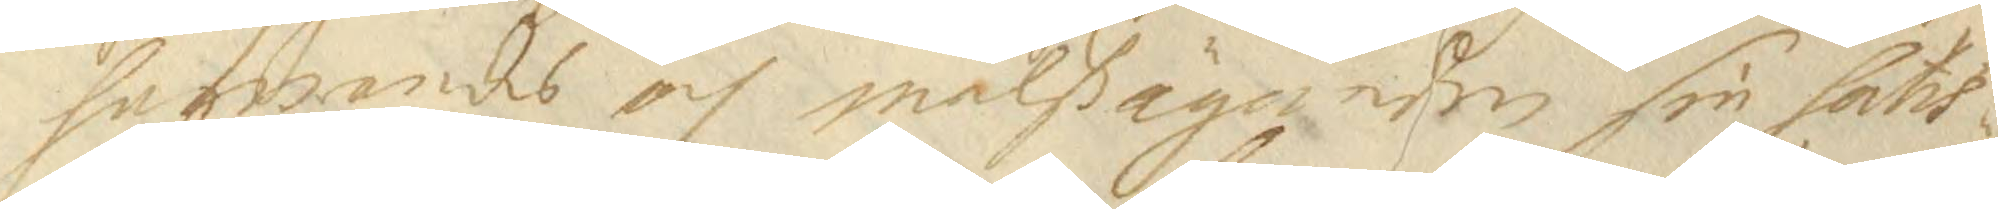hafwandes och målßäganden sin sats¬
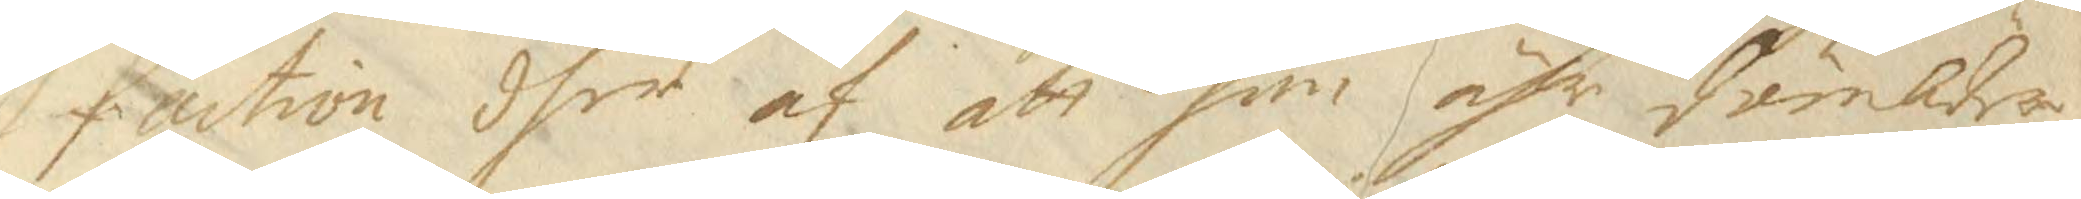faction dher af att han ähr dömder
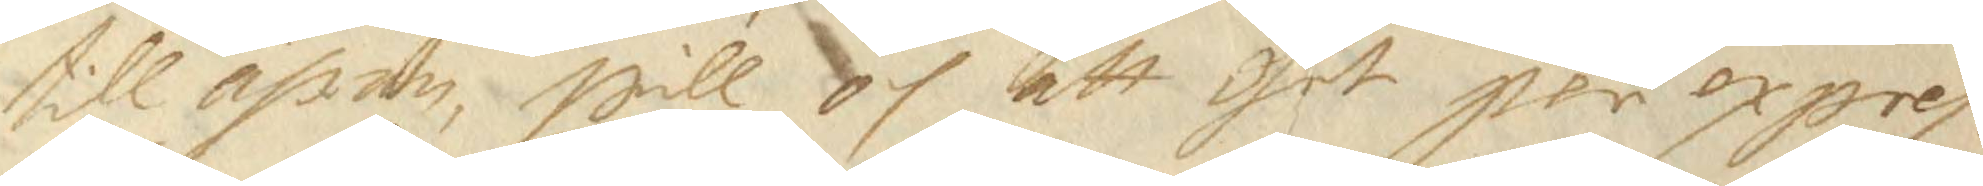till ähran, will och att get per expres¬
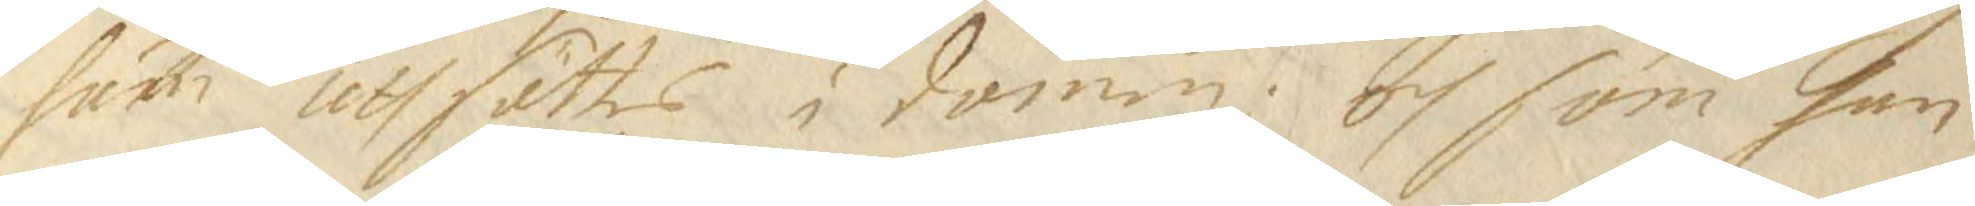furn uthsättes i domen: Och som han
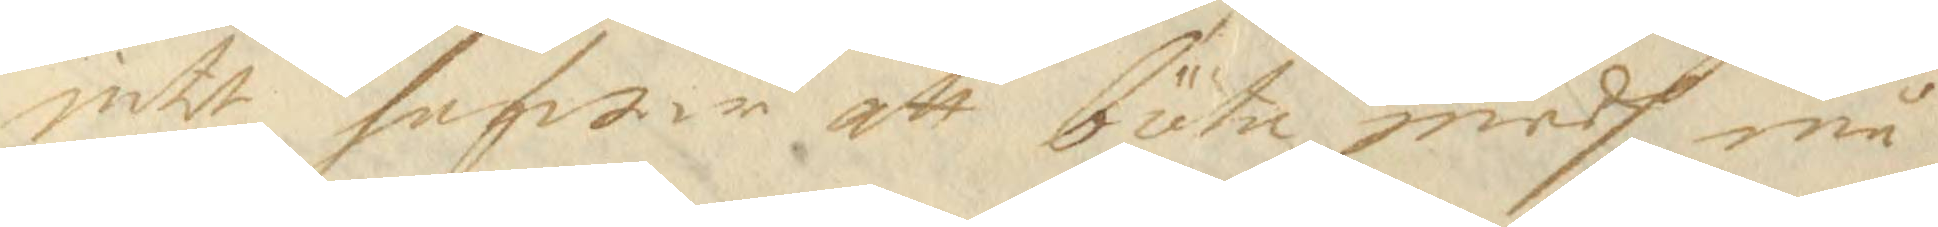intet hafwar att böta medh må
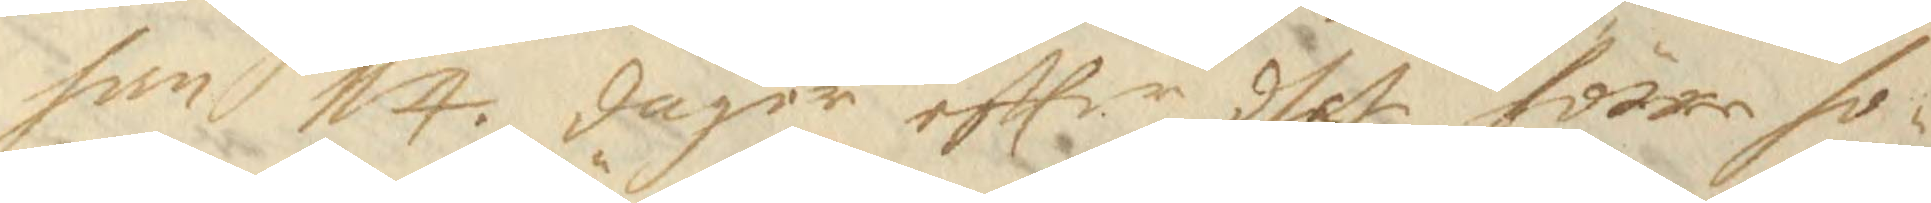han 14. dager effter dhet förre ho¬
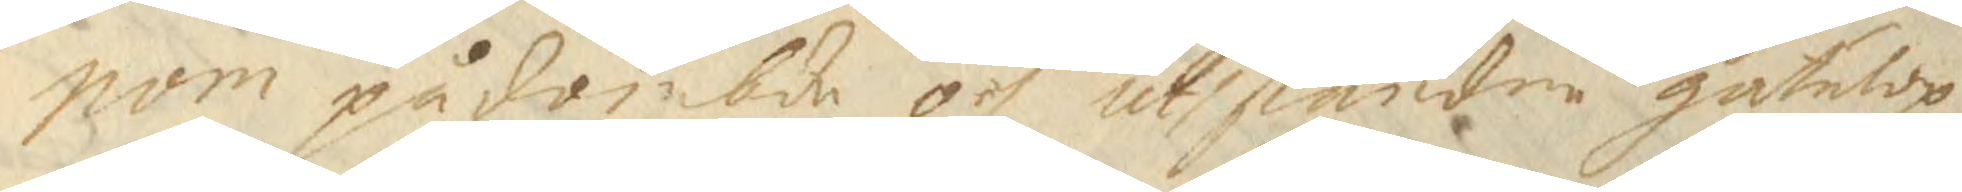nom pådömbde och uthståndne gatulop¬
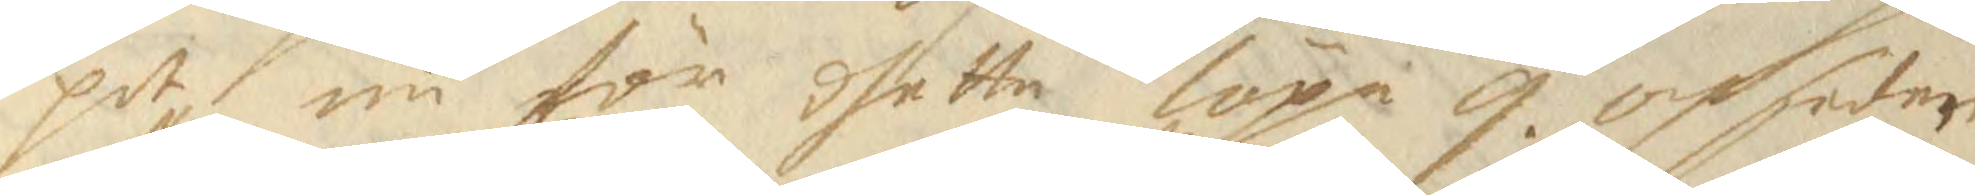pet nu för dhetta löpa 9. och sedan
